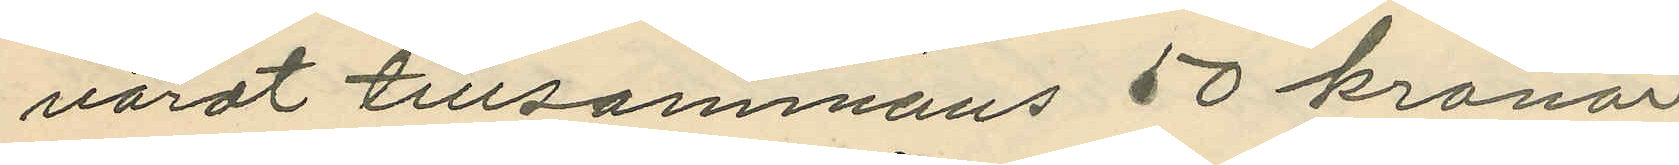värdt tillsammans 50 kronor.
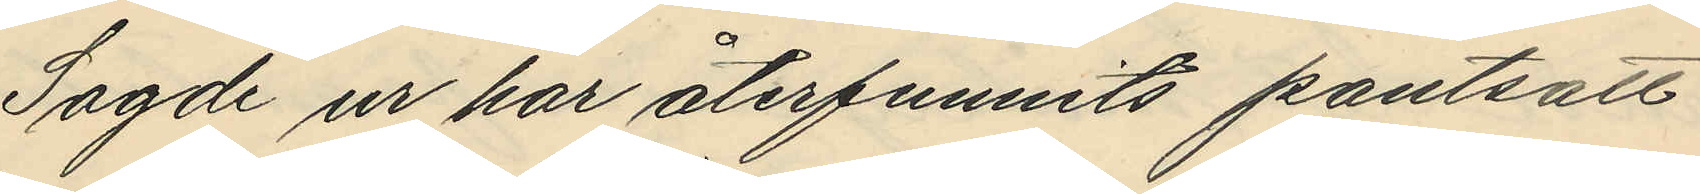Sagde ur har återfunnits pantsatt
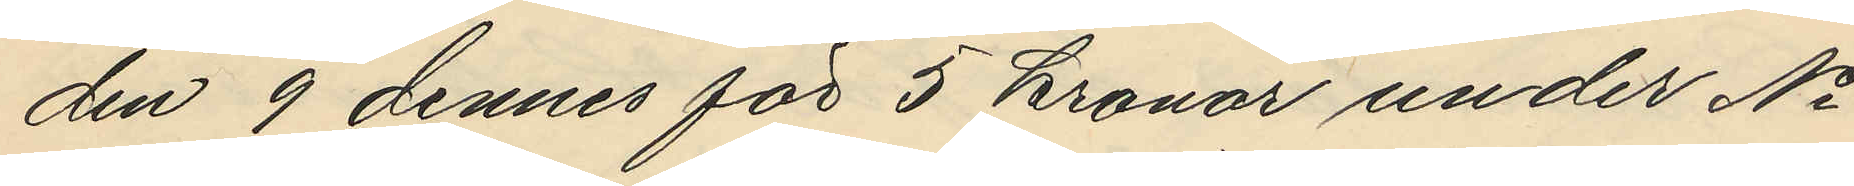den 9 dennes för 5 kronor under No
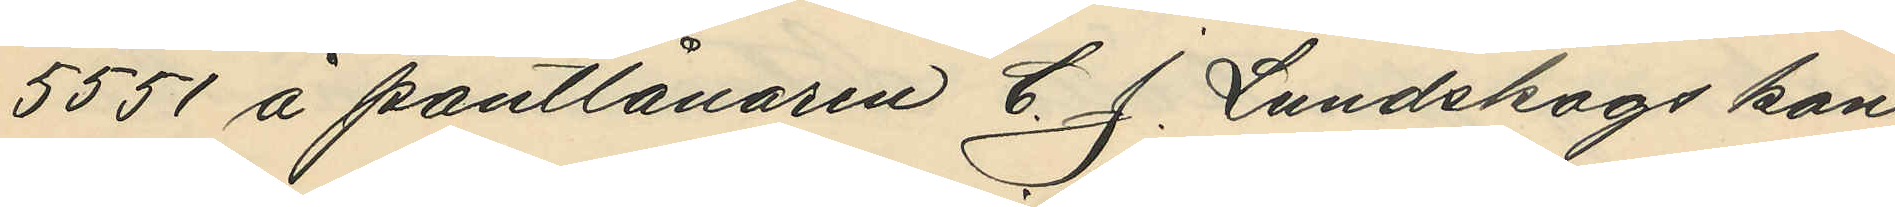5551 å pantlånaren C. J. Lundskogs kon¬
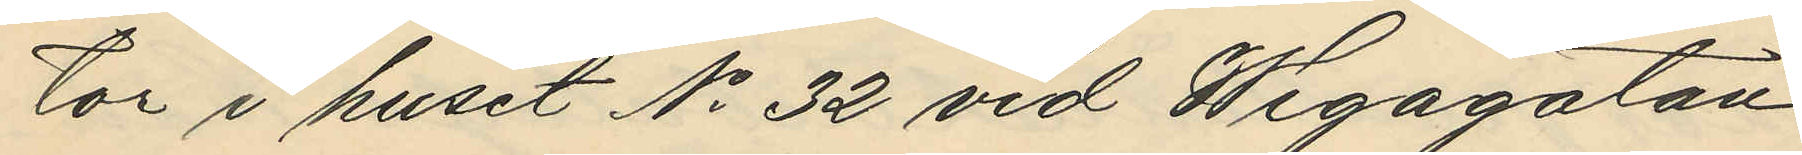tor i huset No 32 vid Wegagatan
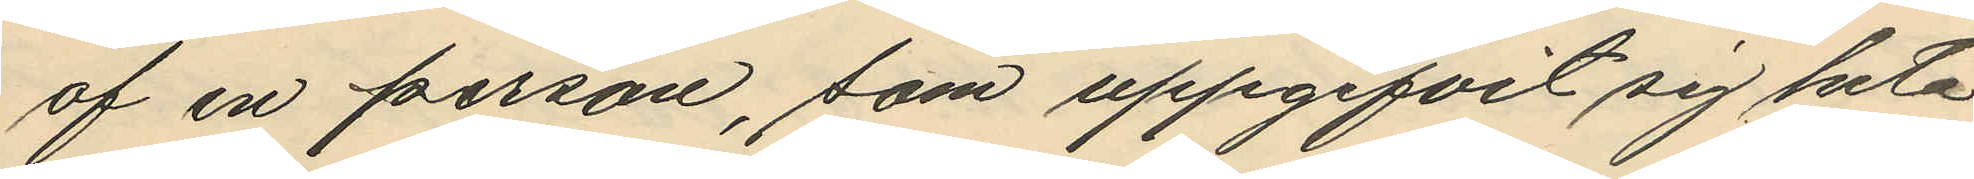af en person, som uppgifvit sig heta
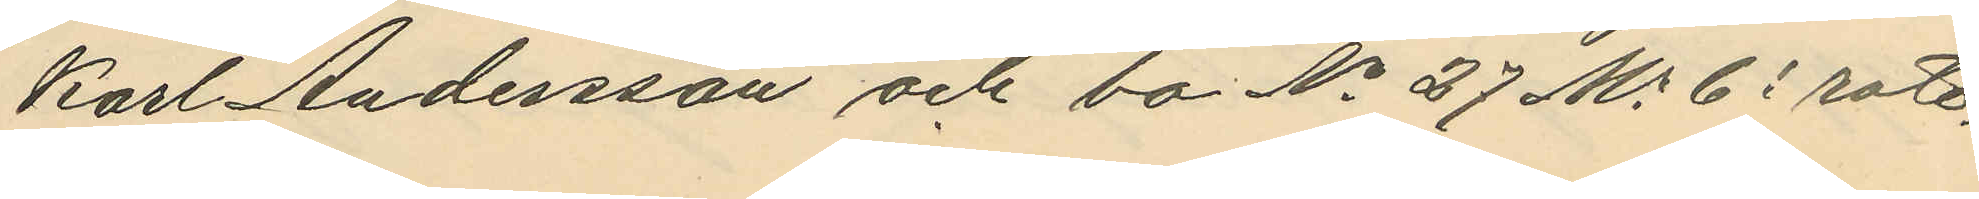Karl Andersson och bo No 27 Ms 6e rote.
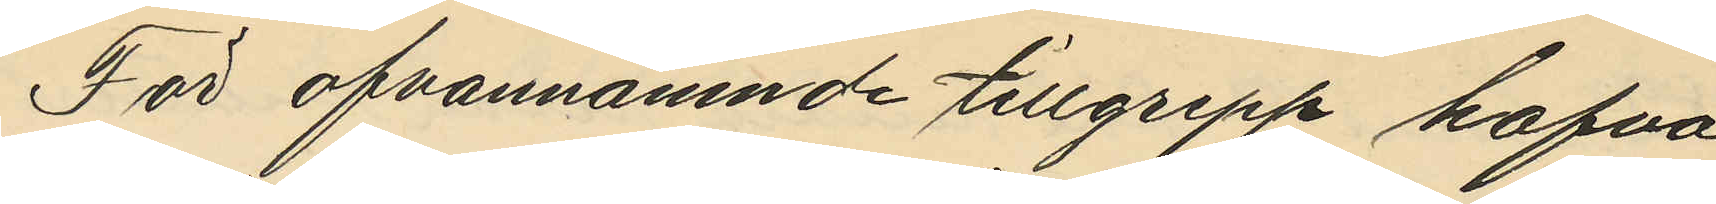För ofvannämnde tillgrepp hafva
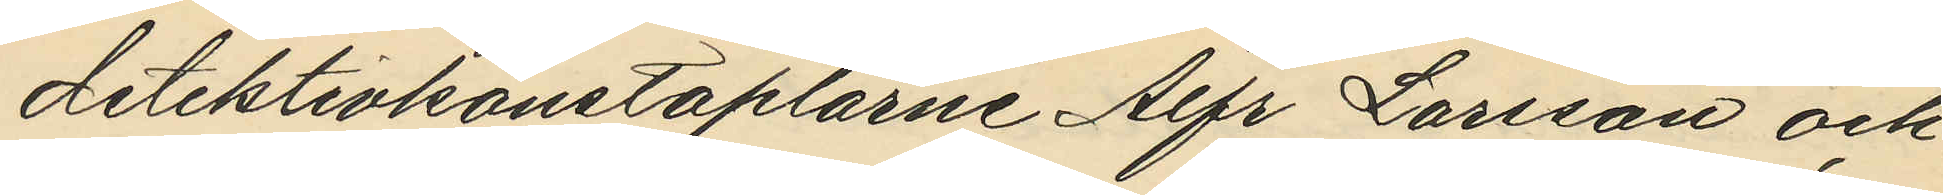detektivkonstaplarne Alfr Larsson och
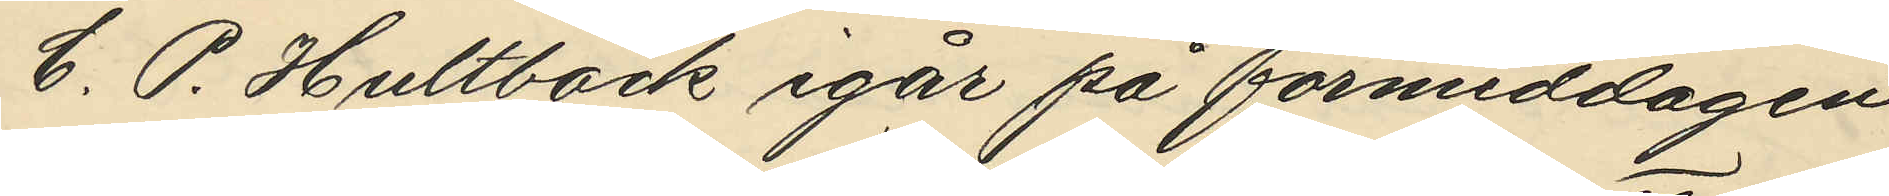C. P. Hultbäck igår på förmiddagen
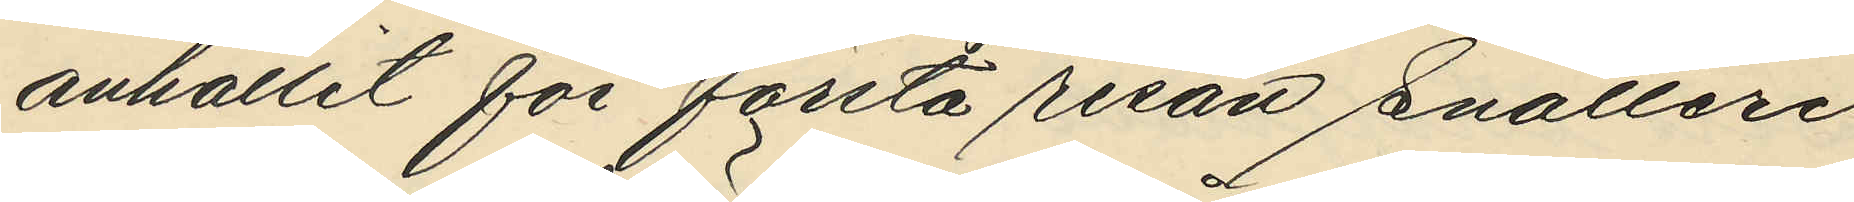anhållit för första resan snatteri
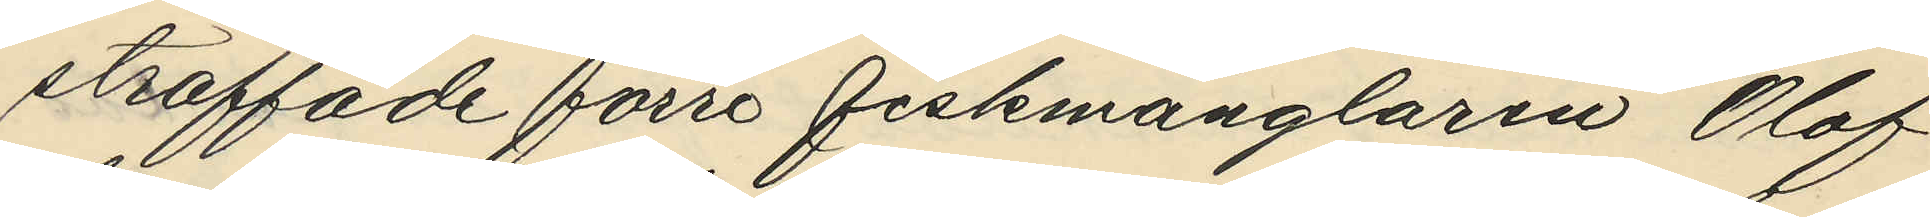straffade förre fiskmånglaren Olof
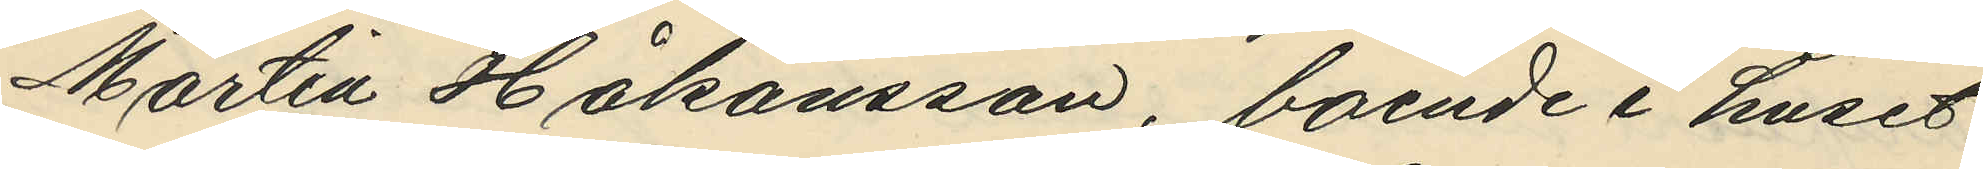Martin Håkansson, boende i huset
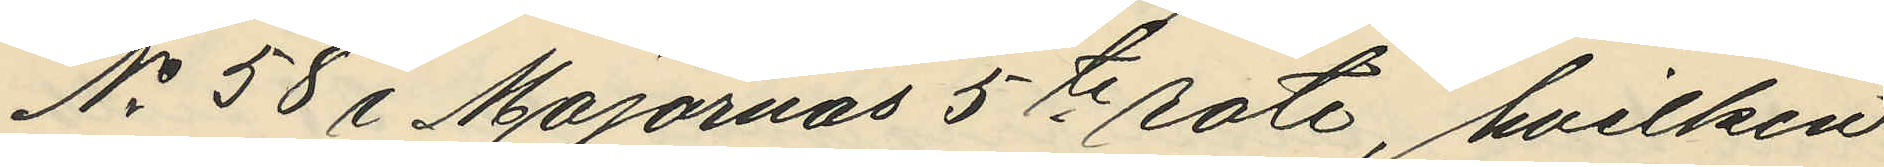No 58 i Majornas 5te rote, hvilken
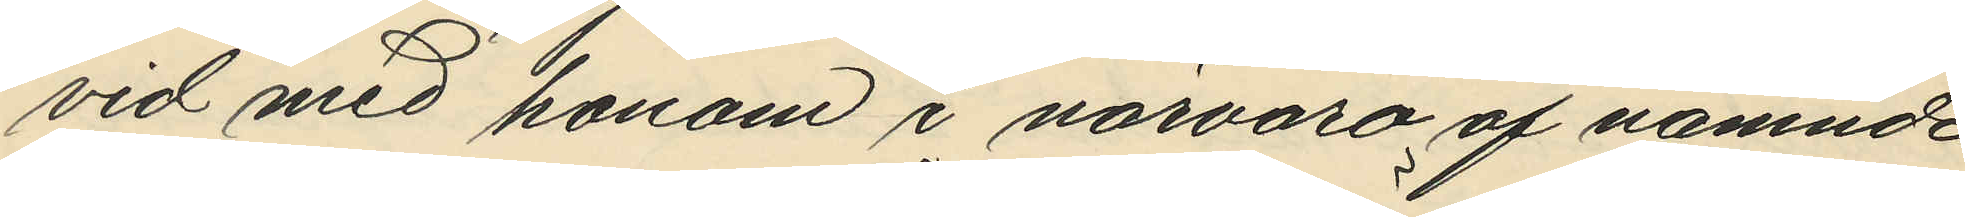vid med honom i närvaro af nämnde
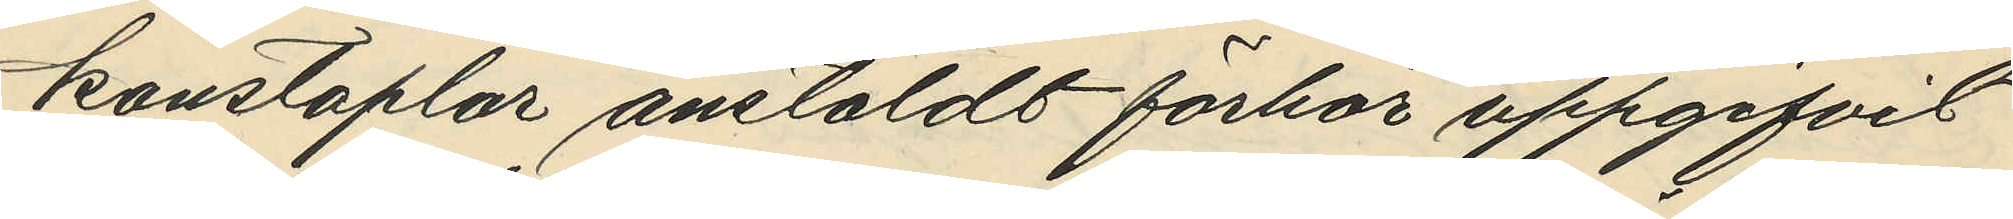konstaplar anstäldt förhör uppgifvit
